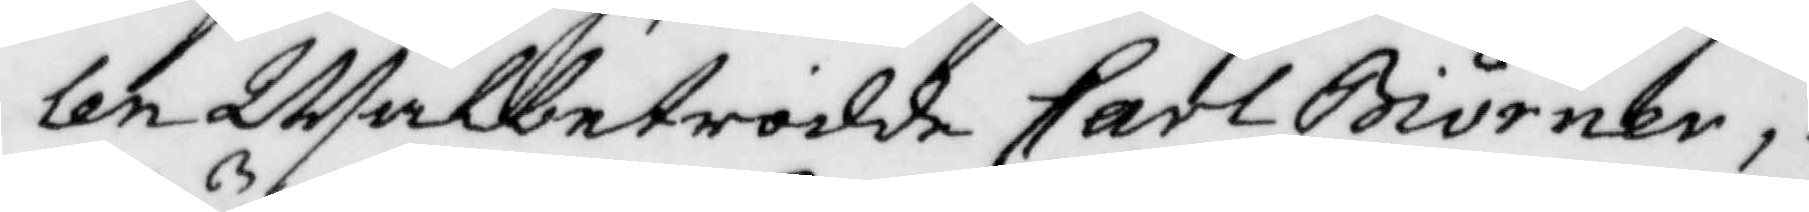len Wälbetrodde Carl Biörner,
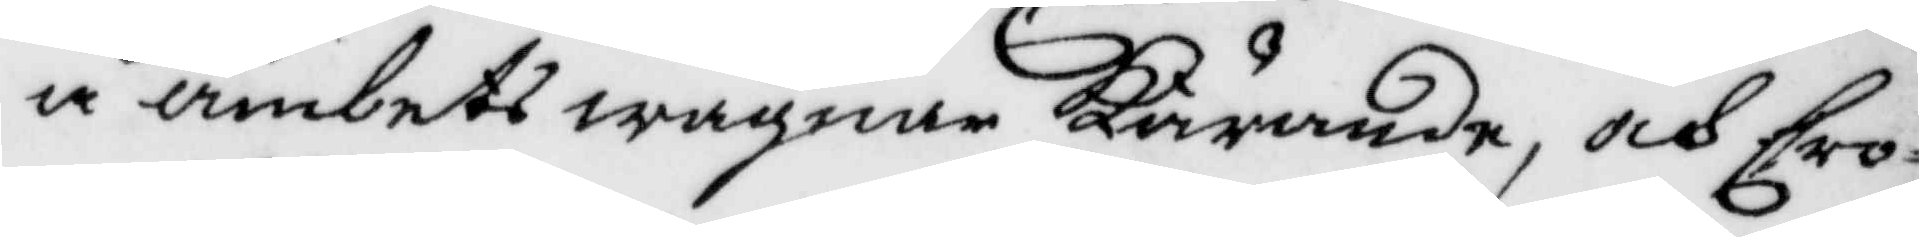å ämbetets wågnar Kärande, och Cro¬
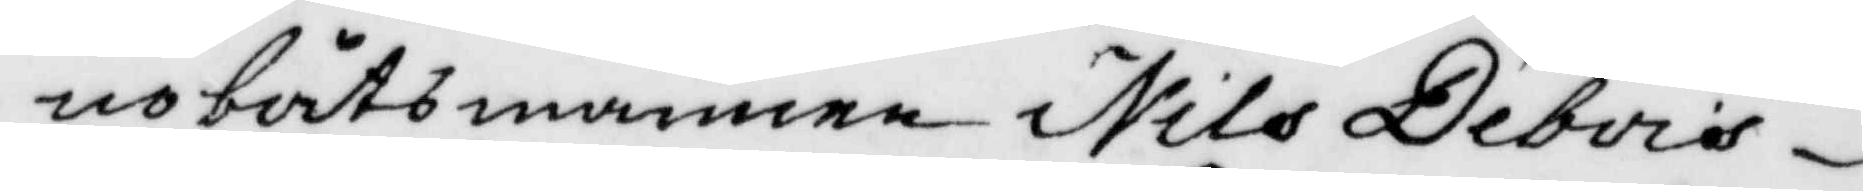nobåtsmannen Nils Debois
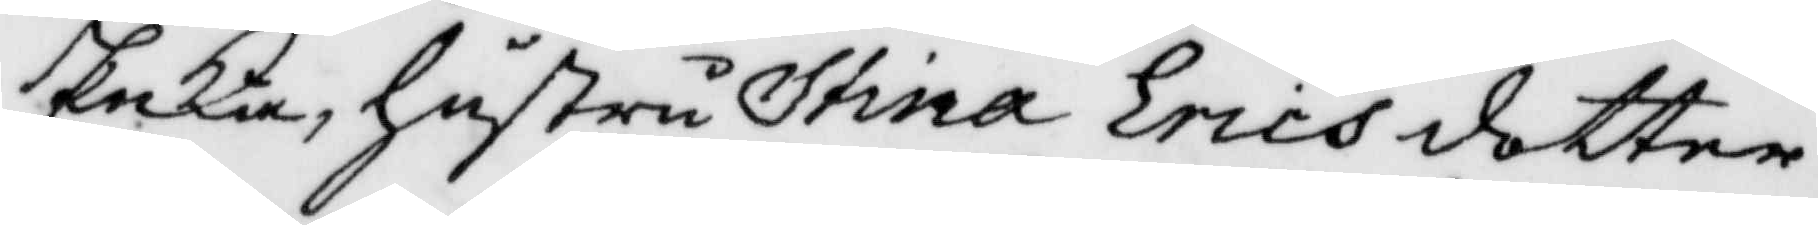Enka, hustru Stina Ericsdotter
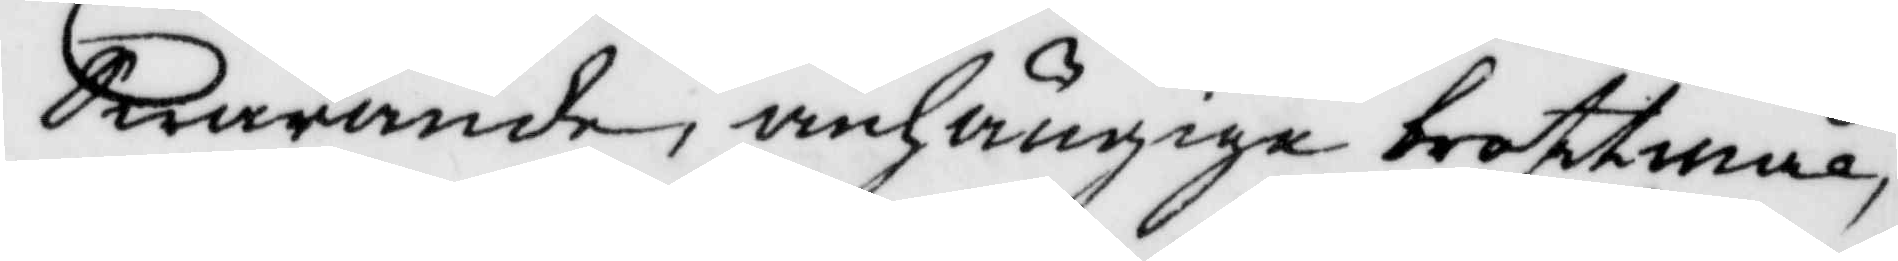Swarande, anhängige brottmål,
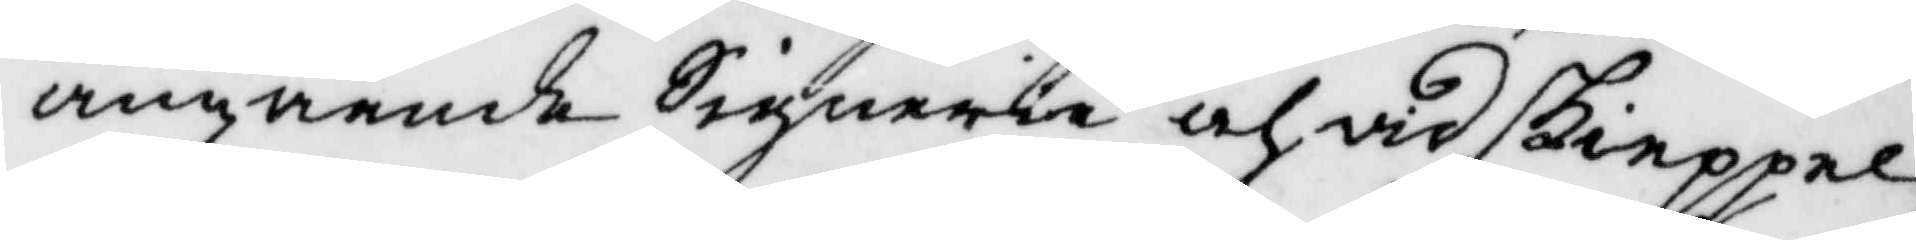angående Signerie och vidskieppel¬
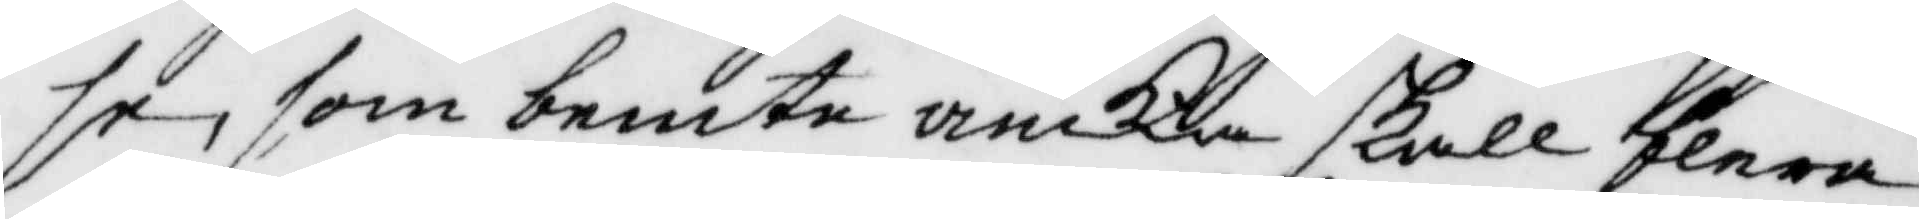se, som bemte äncka skall flera
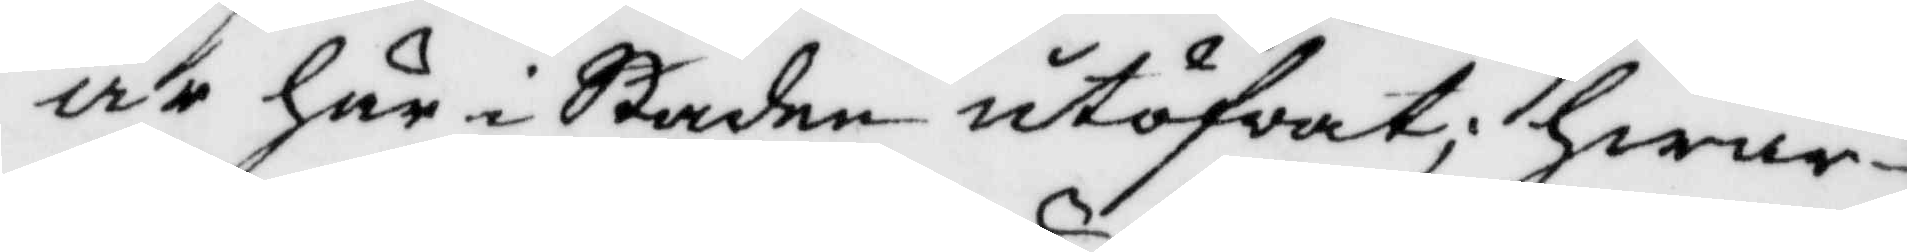år här i Staden utöfwat; hwar¬
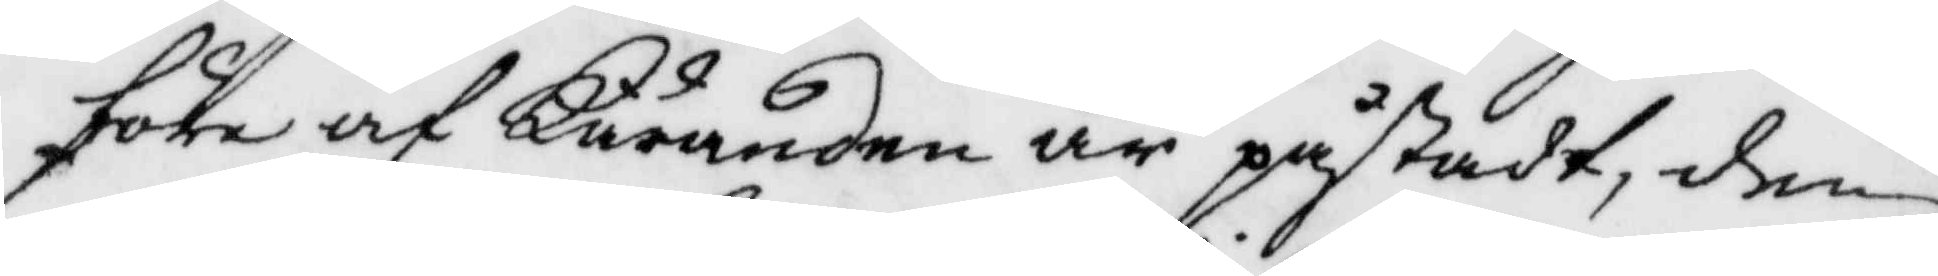före af Käranden är påstadt, den
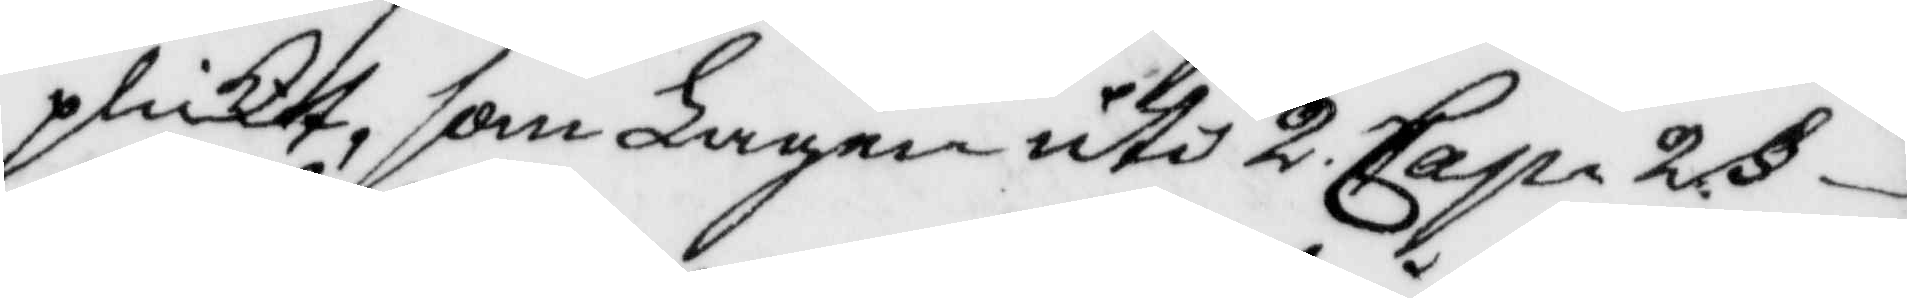plickt, som Lagen uti 2. Cap. 2 §
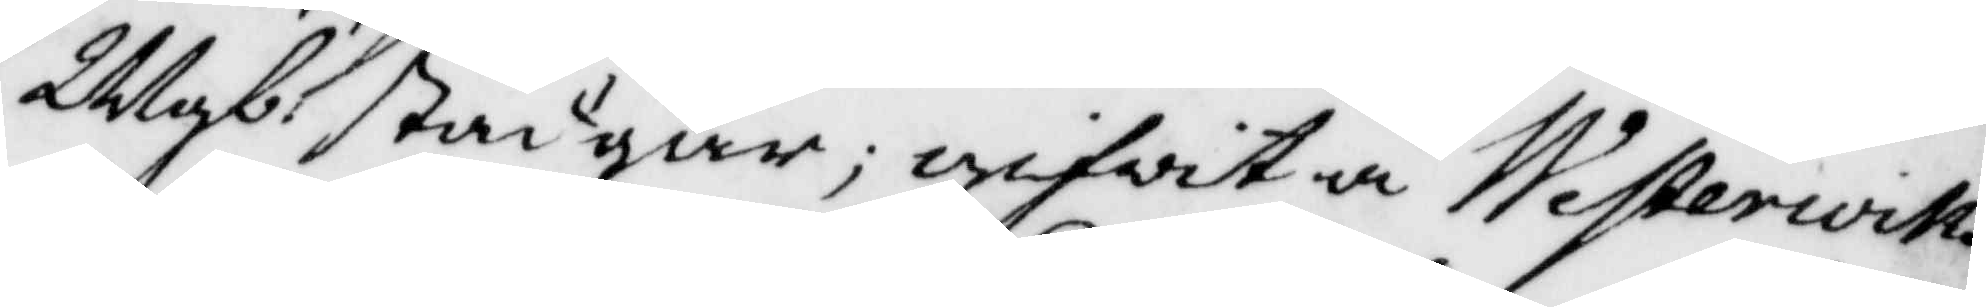Mgb: stadgar; gifwit å Westerwiks
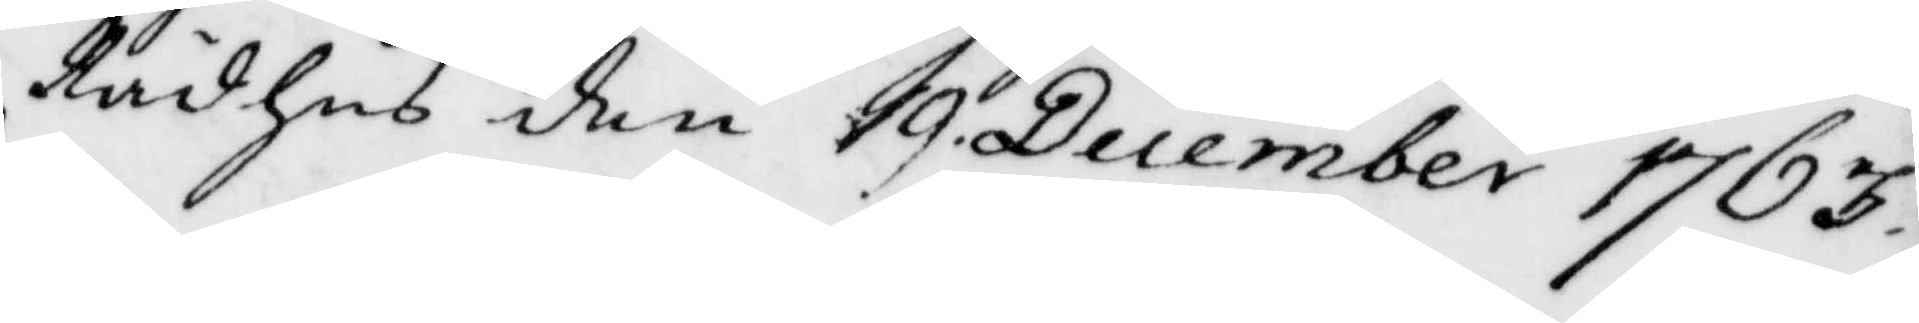Rådhus den 19 December 1763.
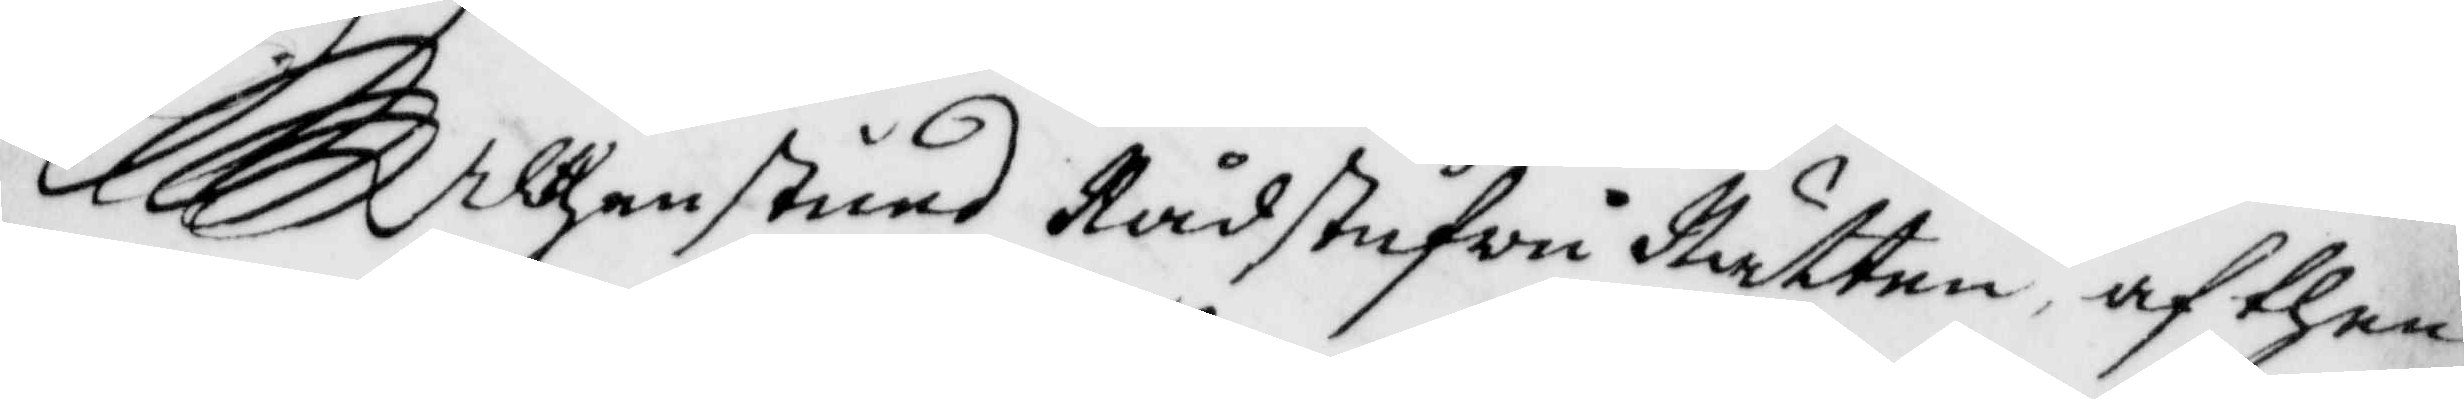Althenstund Rådstufvu Rätten, af then
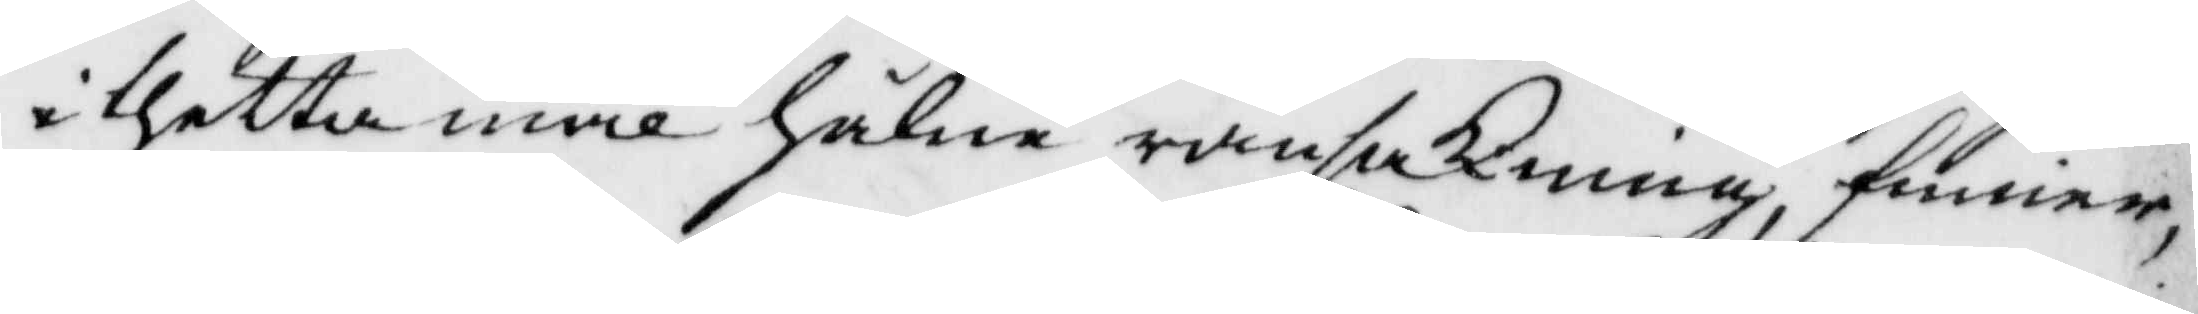i thetta mål hålne ransakning, finner,
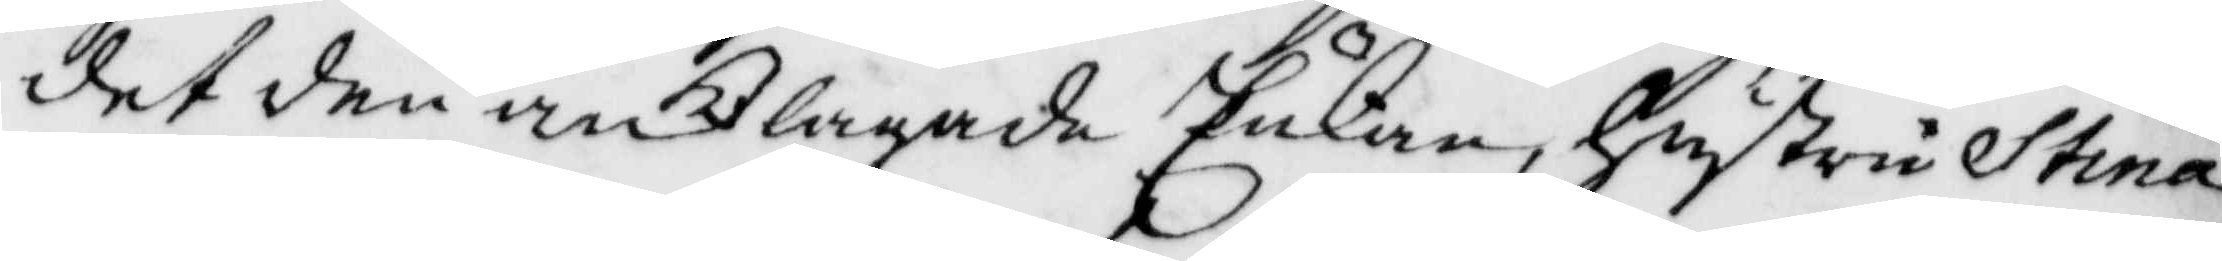det den anklagade Enkan, hustru Stina
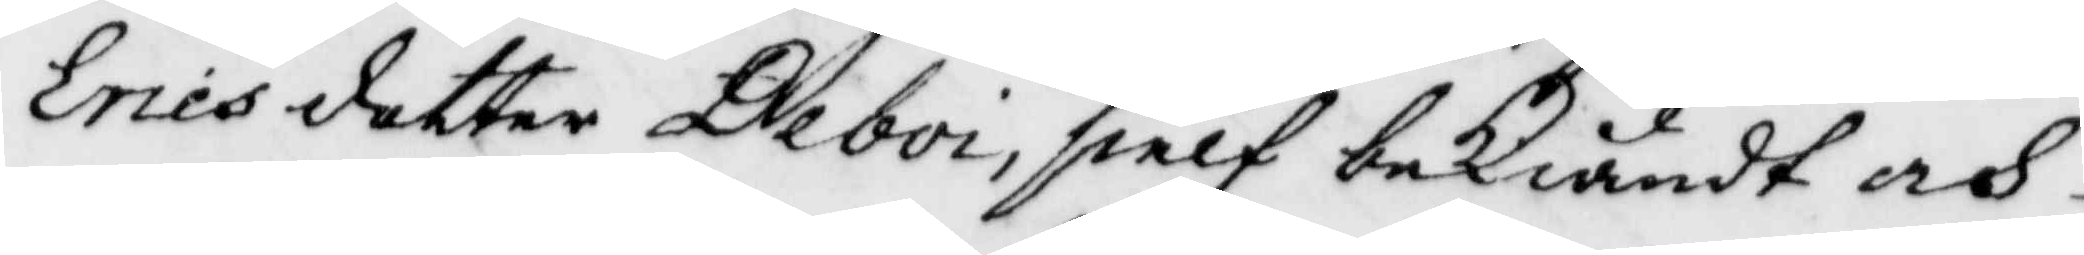ericsdotter Deboi, sielf bekändt och
